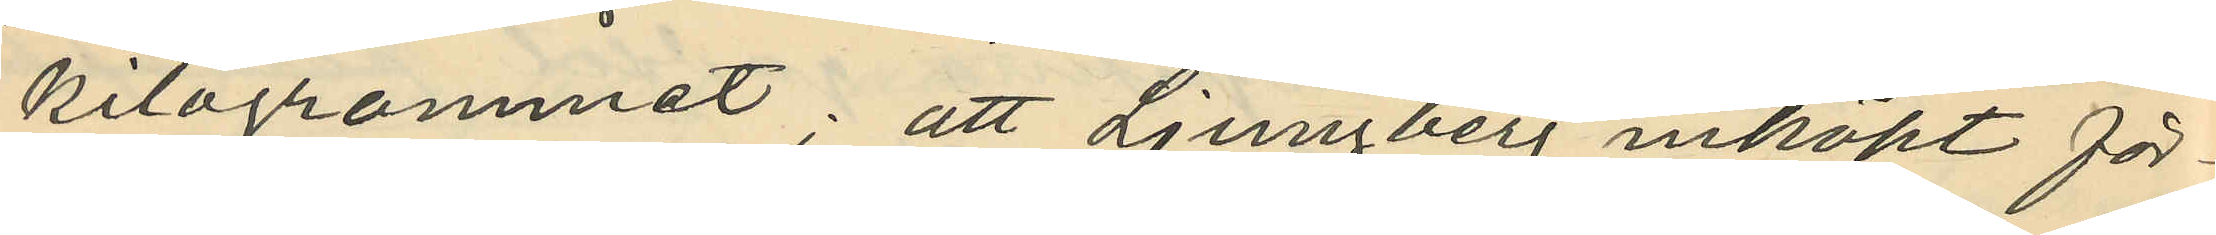kilogrammet; att Ljungberg inköpt för¬
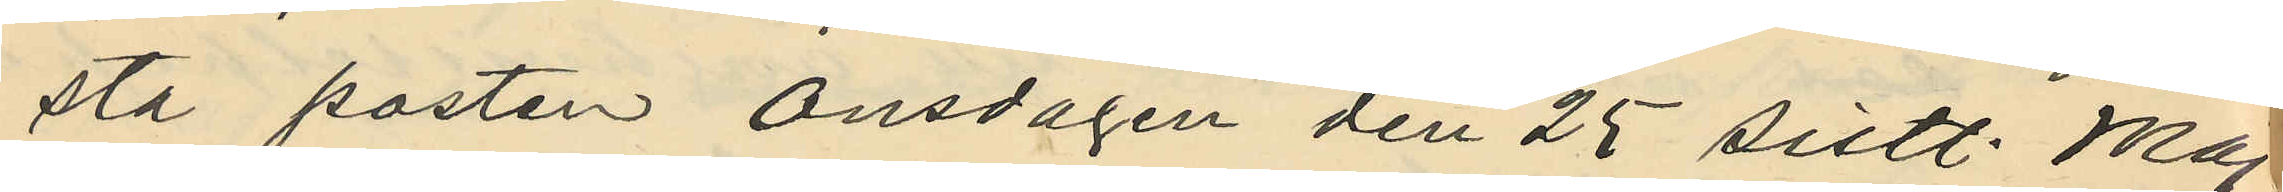sta posten onsdagen den 25 sistl. Maj
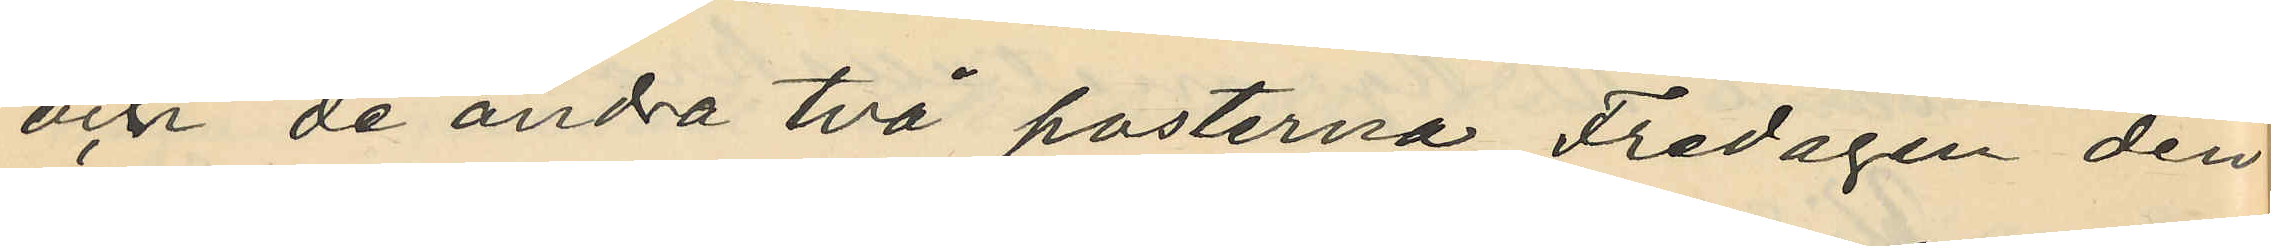och de andra två posterna Fredagen den
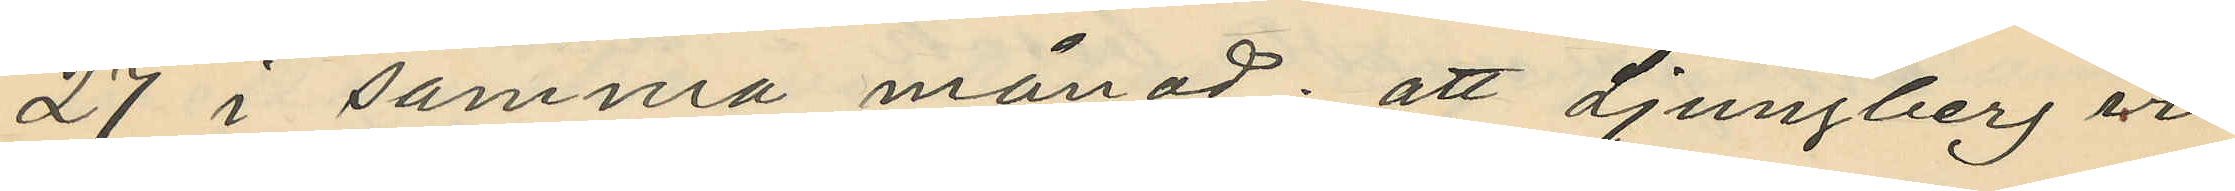27 i samma månad; att Ljungberg vid
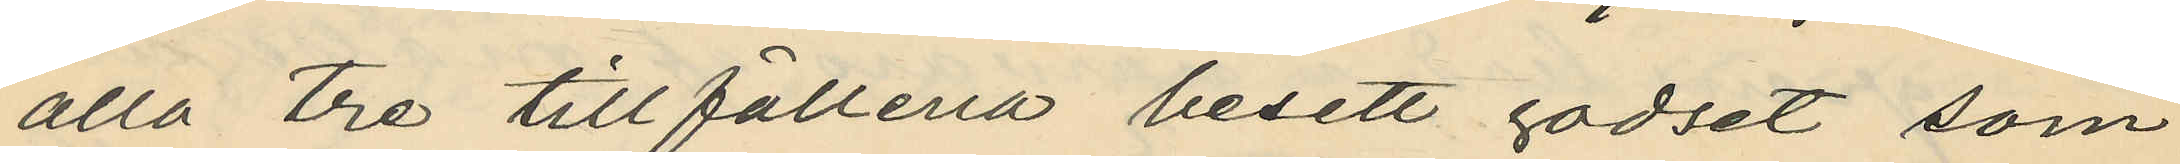alla tre tillfällena besett godset som
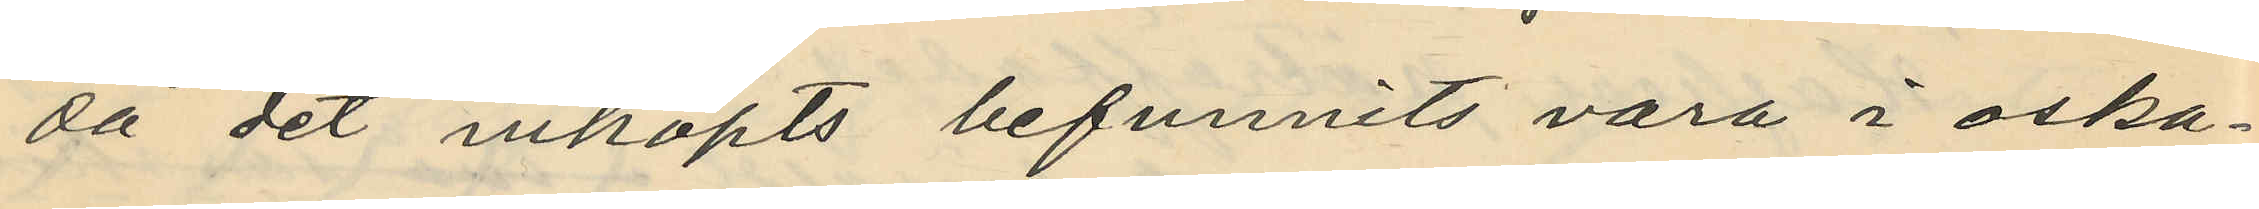då det inköpts befunnits vara i oska¬
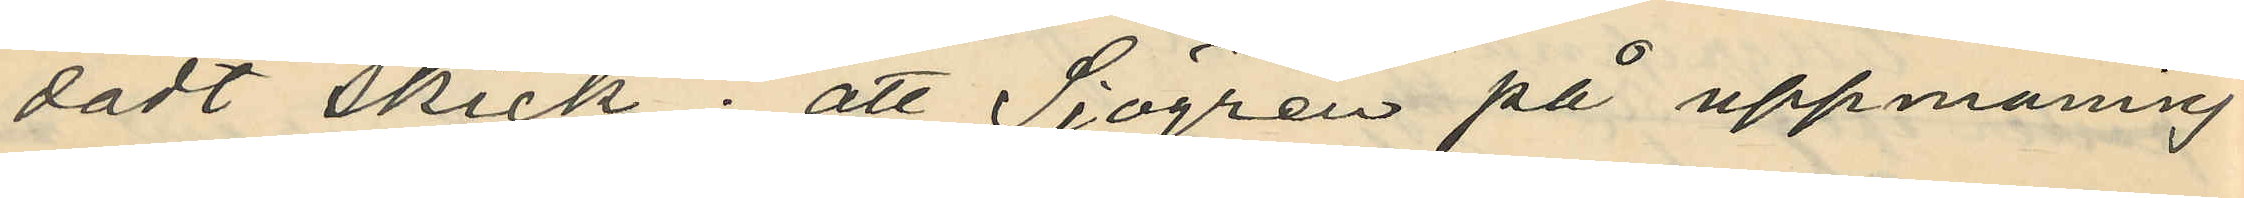dadt skick; att Sjögren på uppmaning
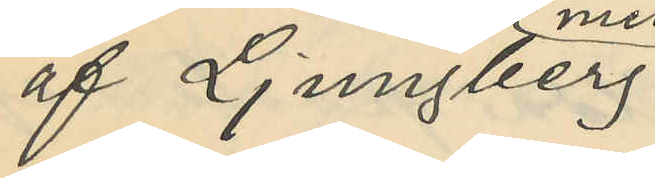af Ljungberg
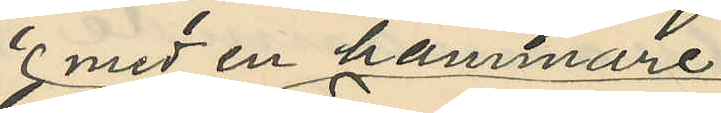med en hammare
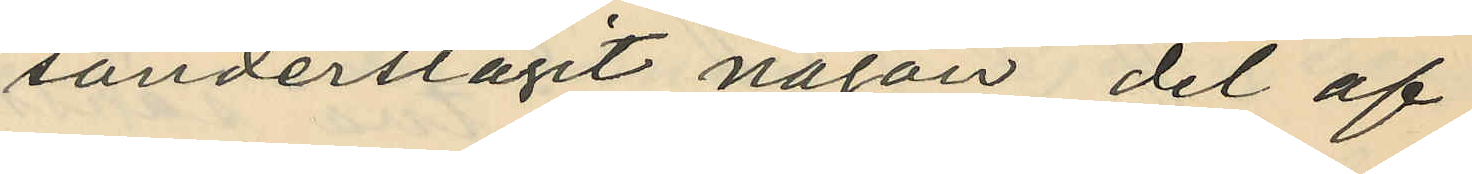sönderslagit någon del af
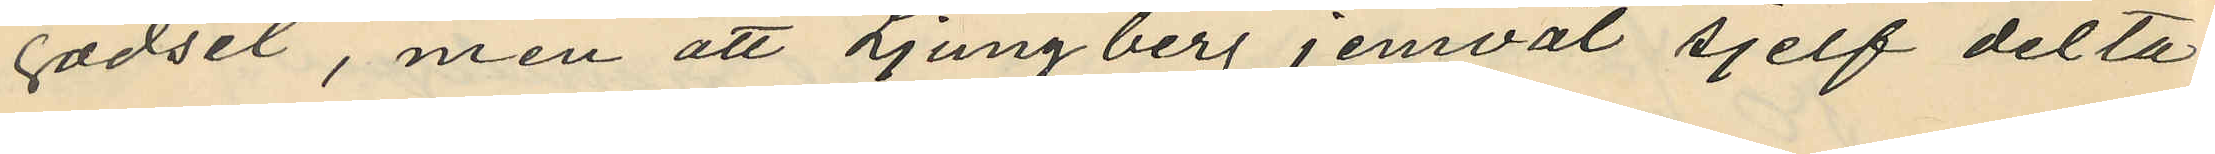godset, men att Ljungberg jemväl sjelf delta¬
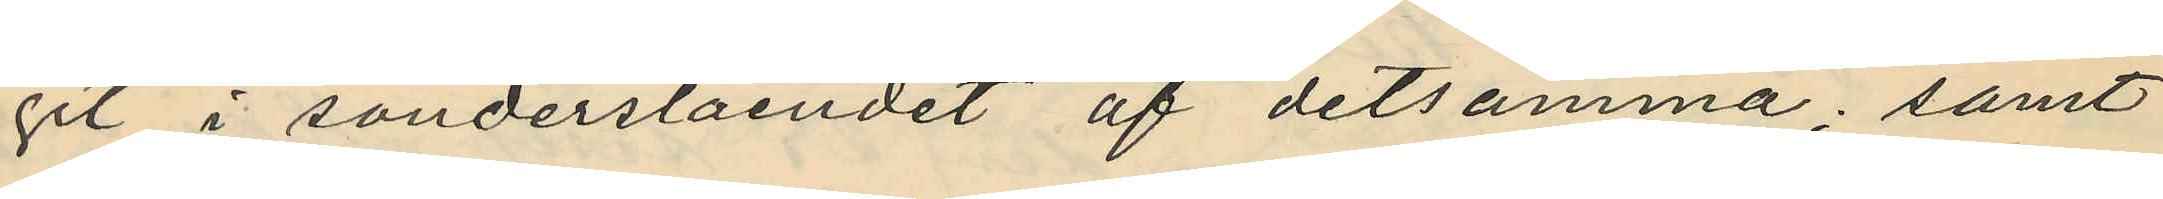git i sönderslåendet af detsamma; samt
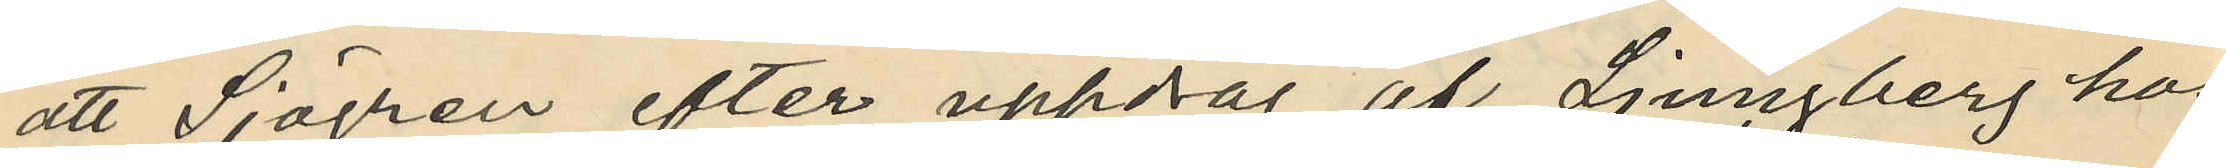att Sjögren efter uppdrag af Ljungberg hos
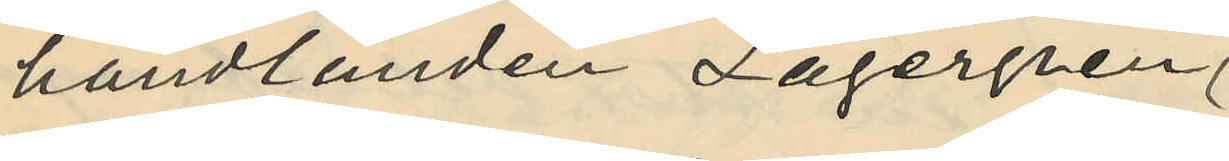handlanden Lagergren
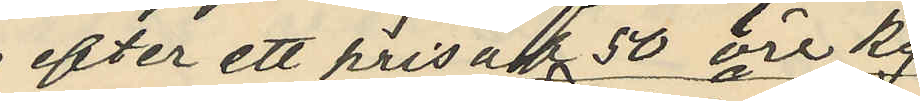efter ett pris af 50 öre kg
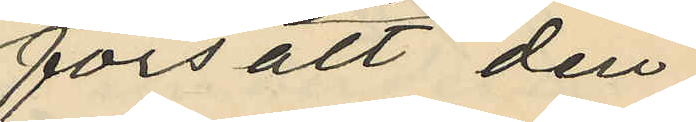försålt den
